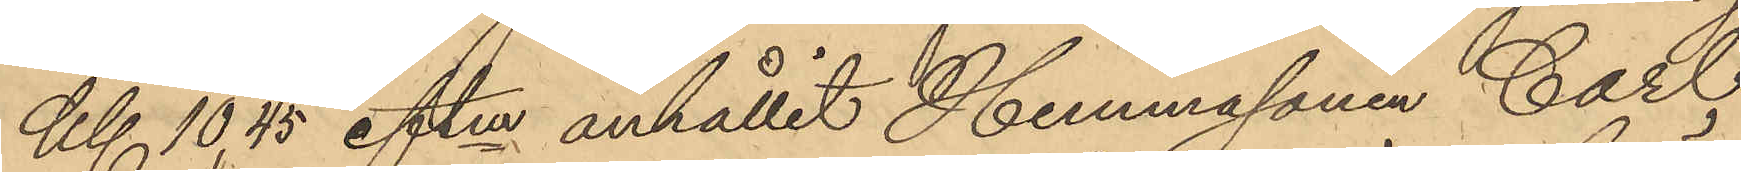Kl. 10,45 eftm. anhållit Hemmasonen Carl
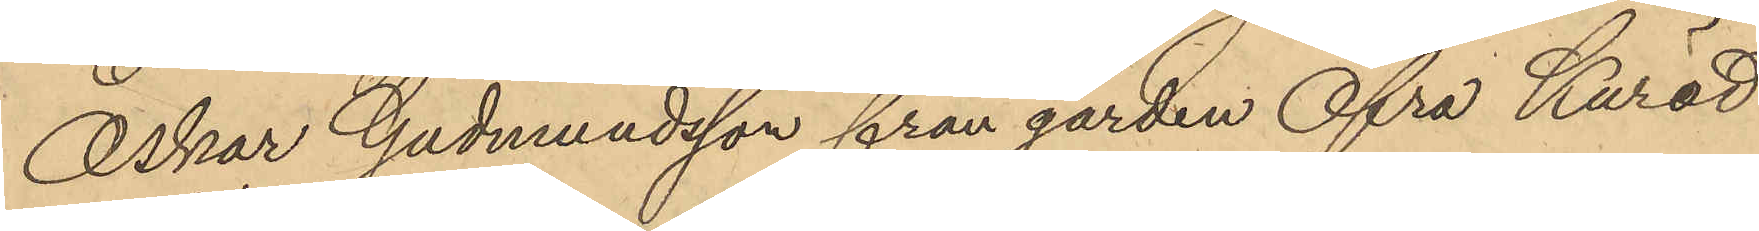Oskar Gudmundsson från gården Öfra Kuröd
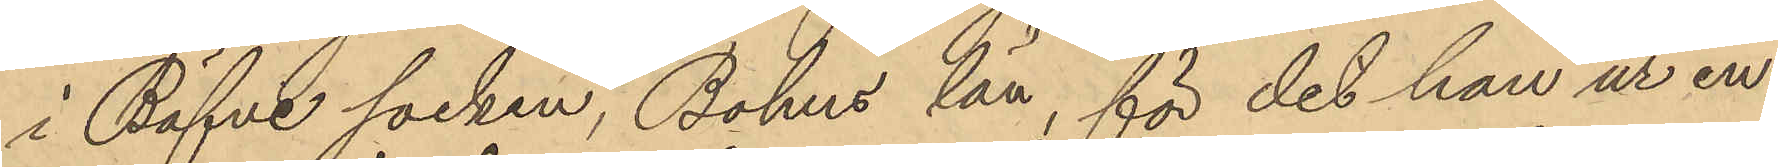i Bäfve socken, Bohus län för det han ur en
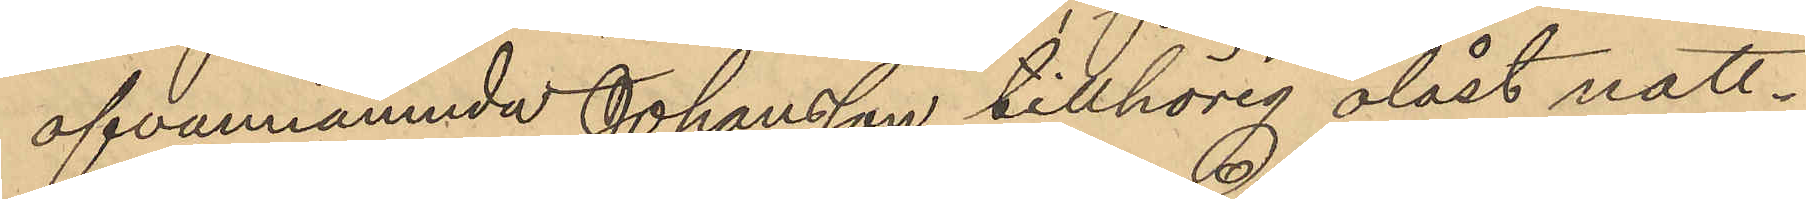ofvannämnde Johansson tillhörig olåst natt¬
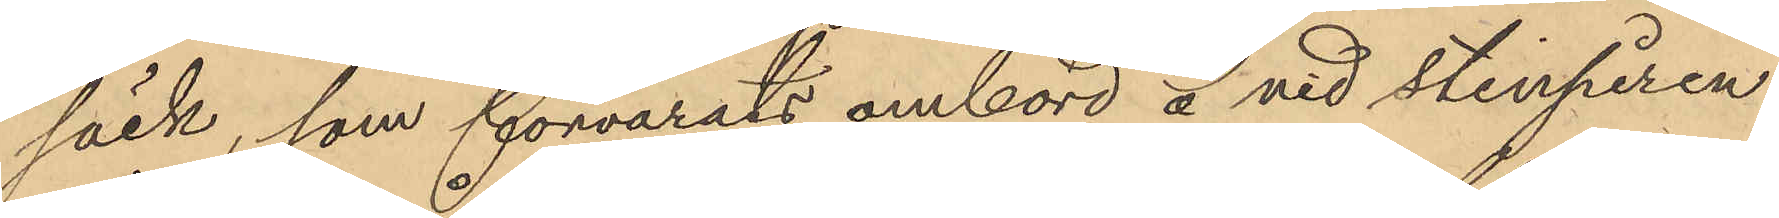säck, som förvarats ombord å vid stinpiren
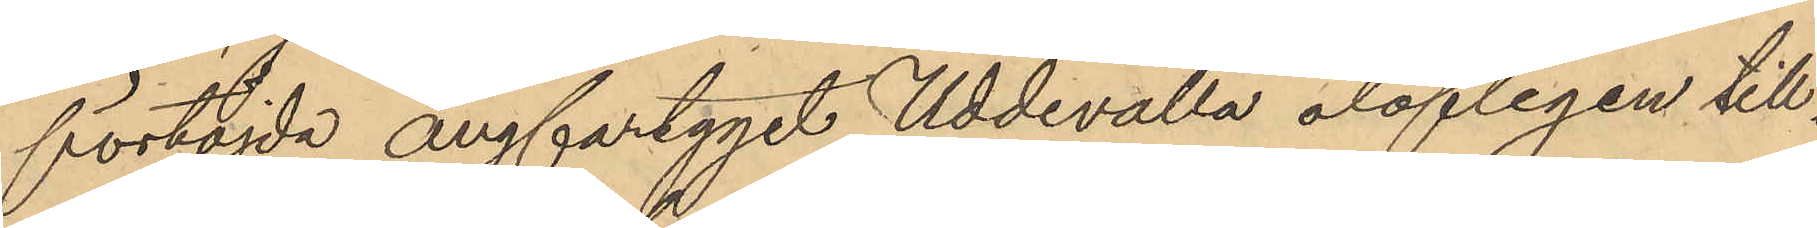förtöjda ångfartyget Uddevalla olofligen till¬
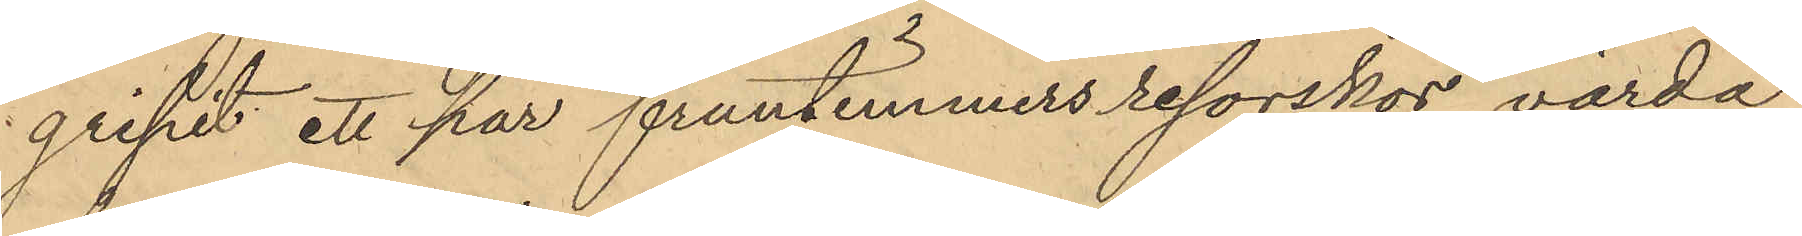gripit ett par fruntimmers resorskor, värda
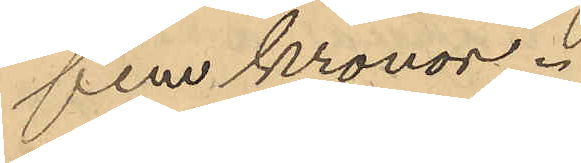fem kronor.
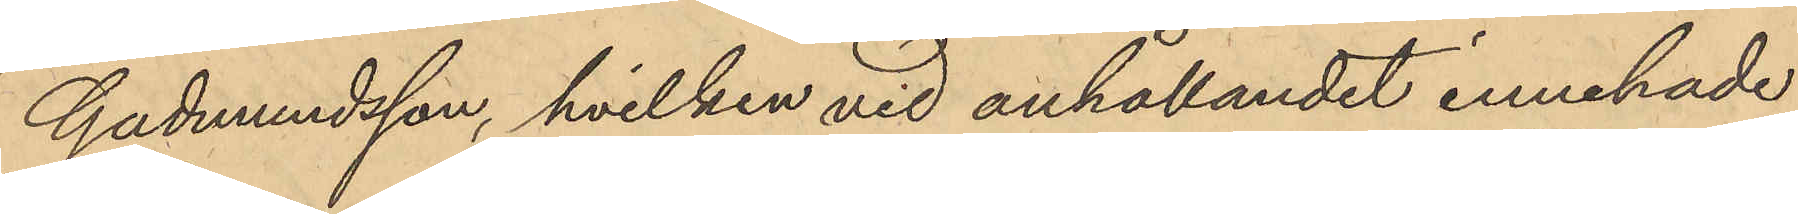Gudmundsson, hvilken vid anhållandet innehade
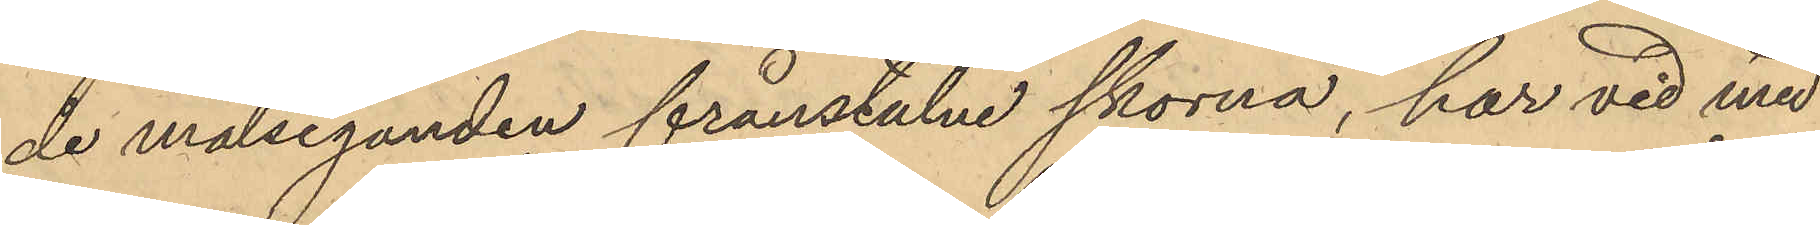de målseganden frånstulne skorna, har vid med
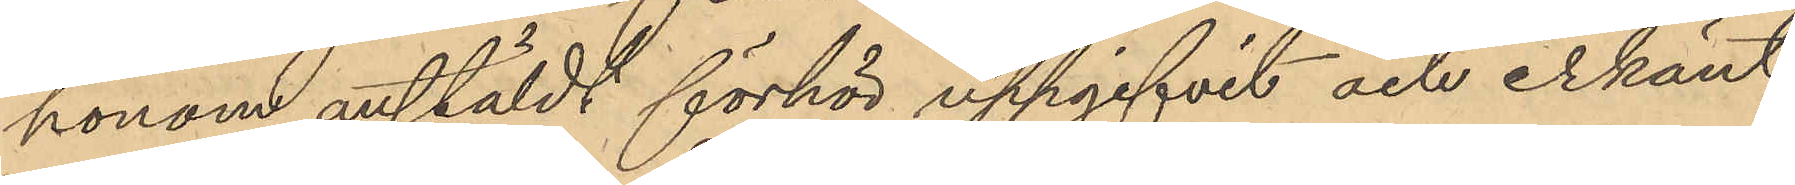honom anstäldt förhör uppgifvit och erkänt,
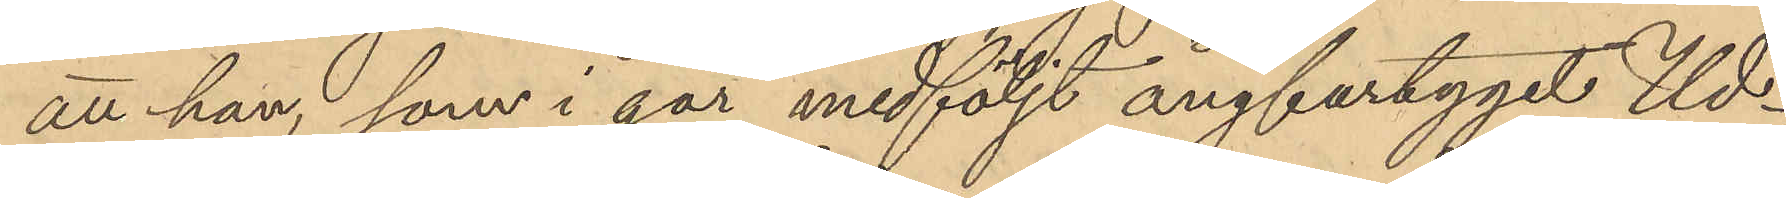att han, som i går medföljt ångfartyget Ud¬
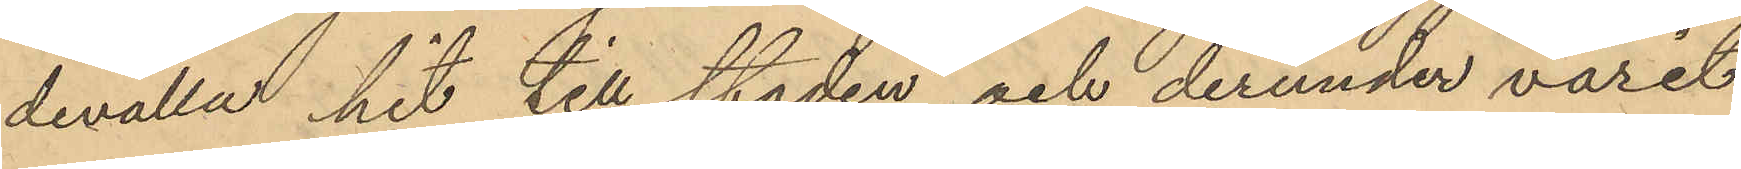devalla hit till staden och derunder varit
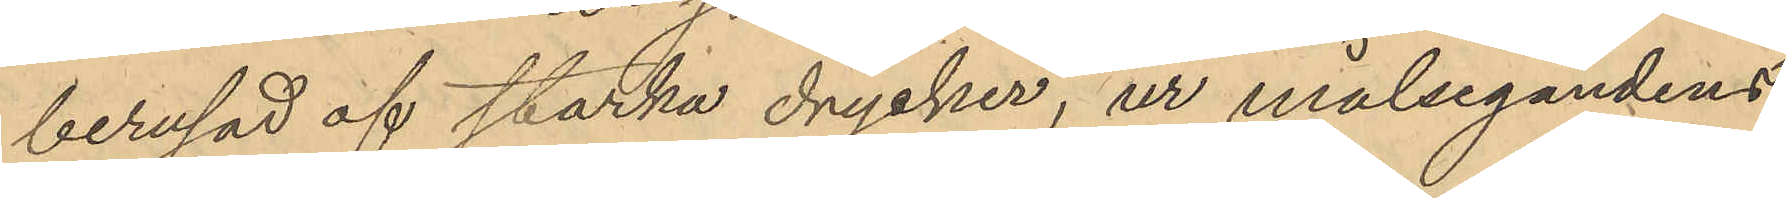berusad af starka drycker, ur målsegandens
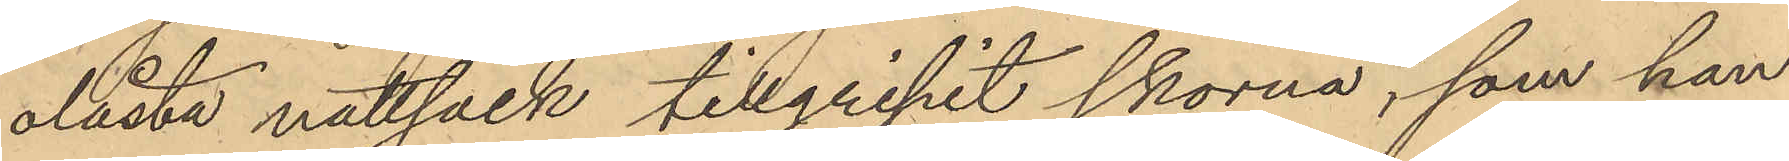olåsta nattsäck tillgripit skorna, som han
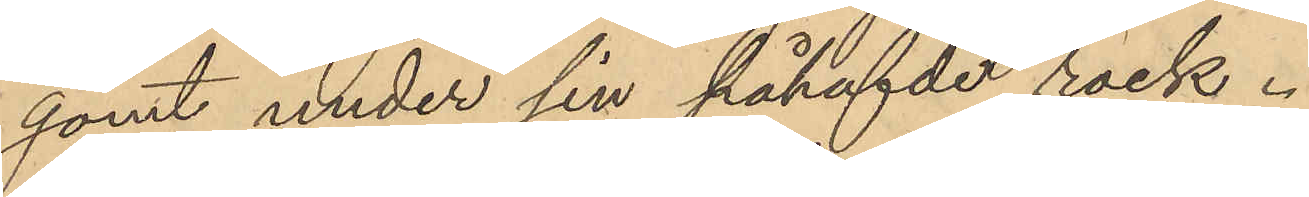gömt under sin påhafvde rock.
